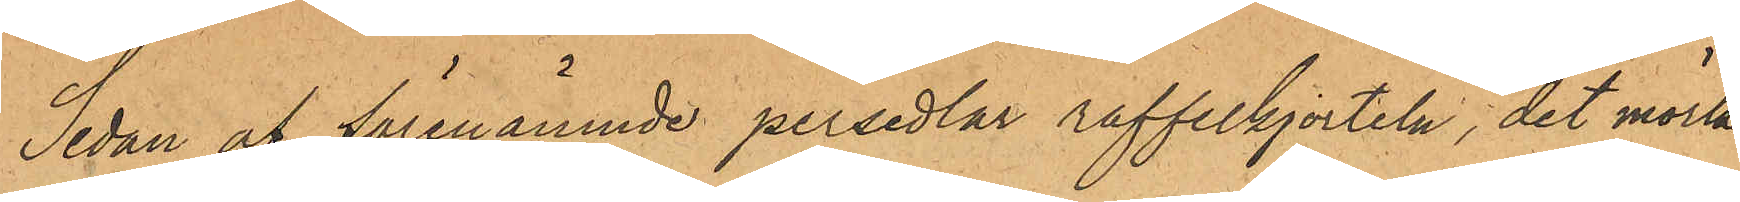Sedan af förenämnde persedlar raffelkjorteln, det mörk¬
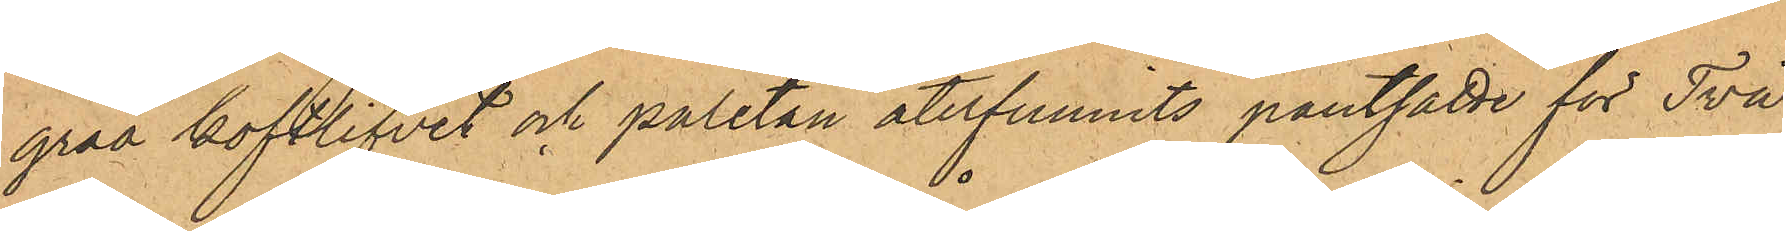gråa koftlifvit och paletån återfunnits pantsatte för Två
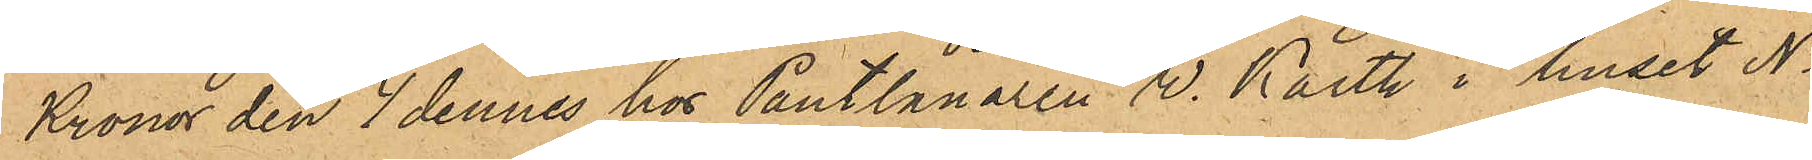Kronor den 4 dennes hos Pantlånaren V. Karth i huset No
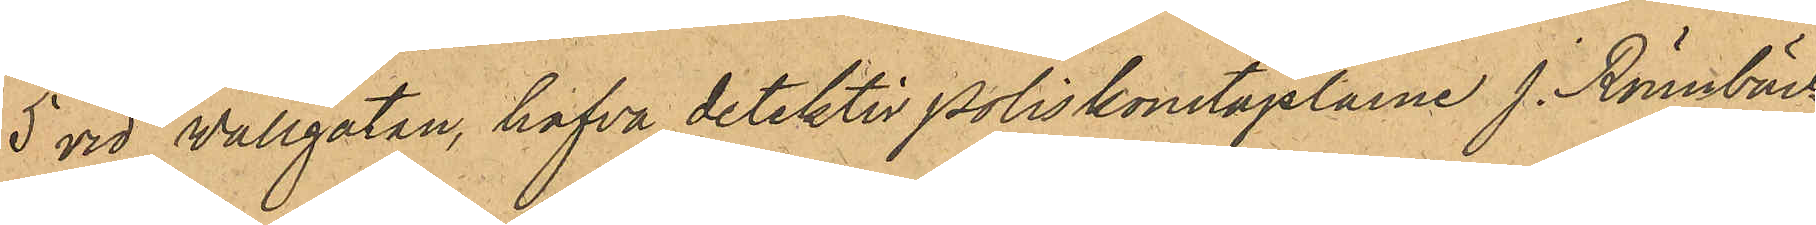5 vid Vallgatan, hafva detektivpoliskonstaplarne J. Rönnbäck
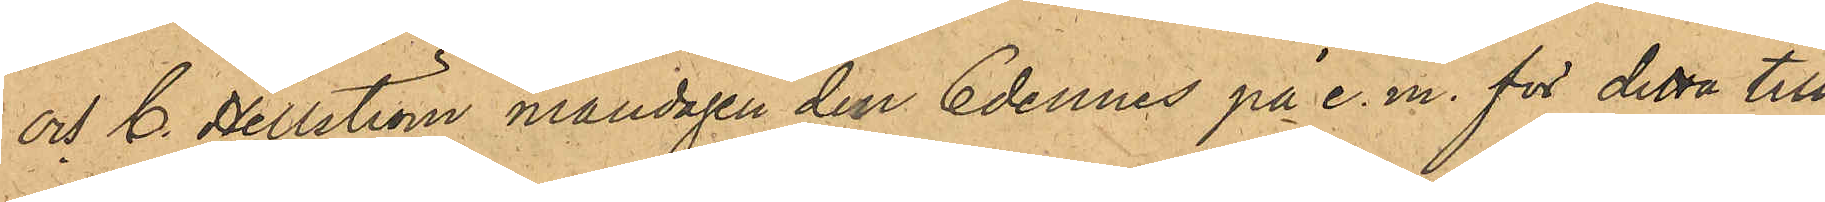och C. Hellström måndagen den 6 dennes på e.m. för detta till¬
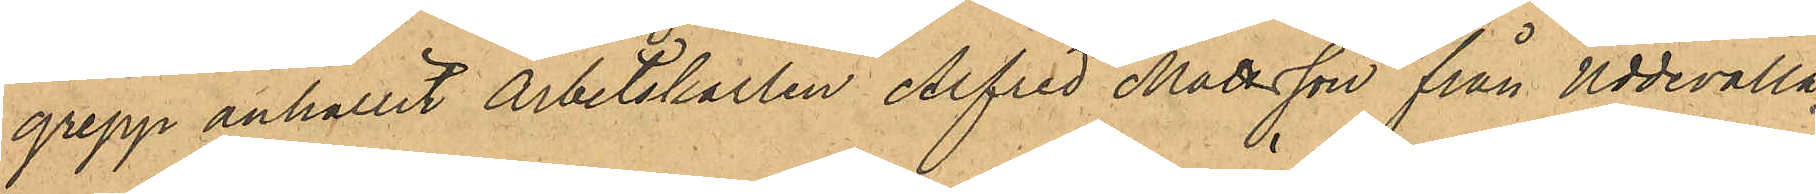grepp anhållit Arbetskarlen Alfred Mattsson från Uddevalla,
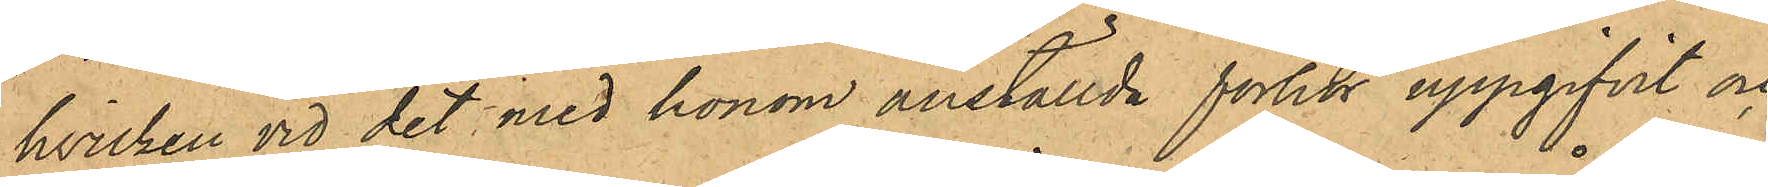hvilken vid det med honom anställda förhör uppgifvit och
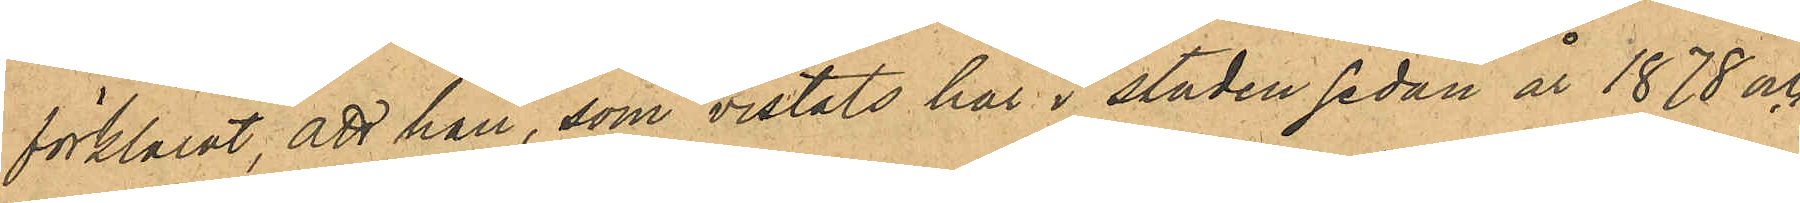förklarat att han, som vistats här i staden sedan år 1878 och
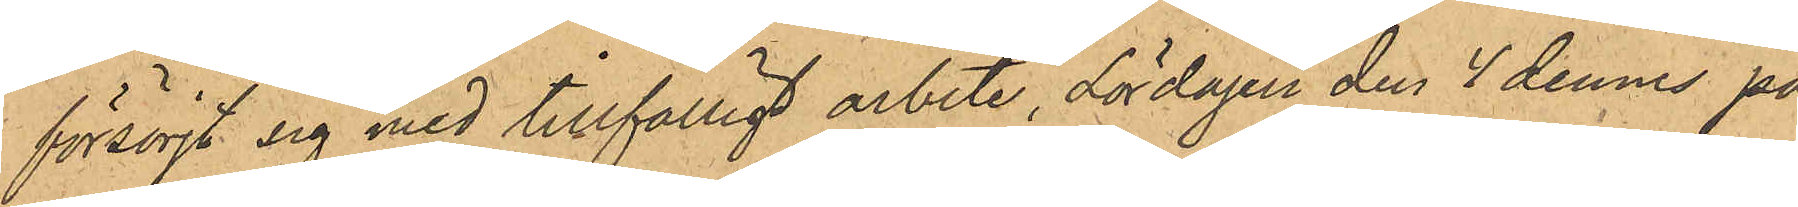försörjt sig med tillfälligt arbete, Lördagen den 4 dennes på
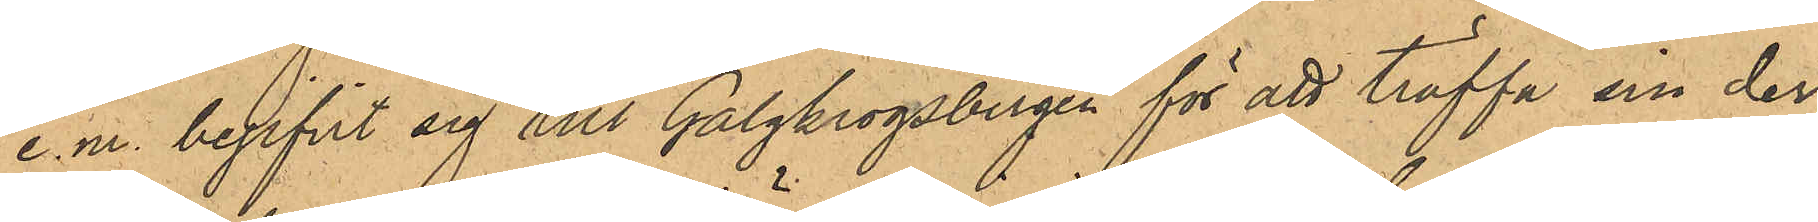e.m. begifvit sig till Galgkrogsbergen för att träffa sin der¬
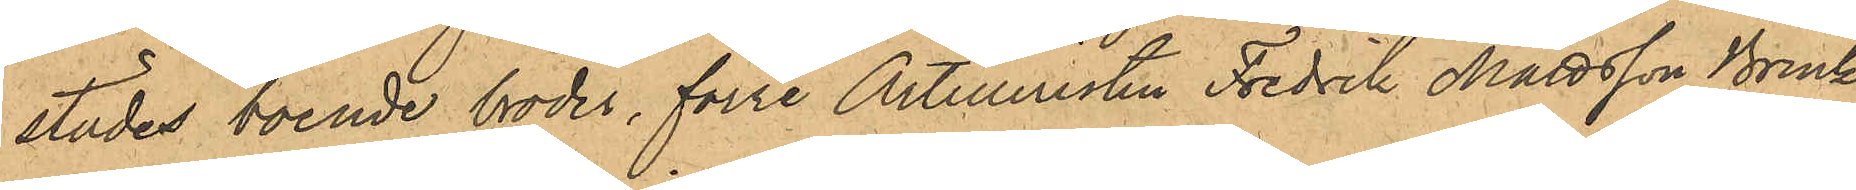städes boende broder, förre Artilleristen Fredrik Mattsson Brink,
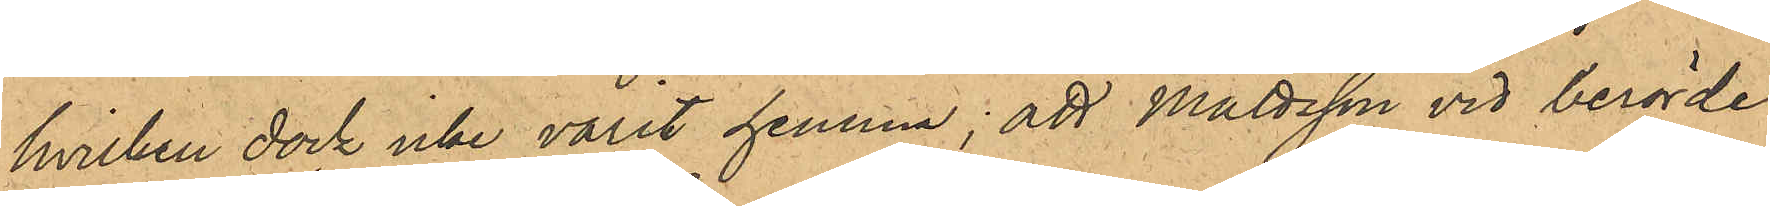hvilken dock icke varit hemma; att Mattsson vid berörde
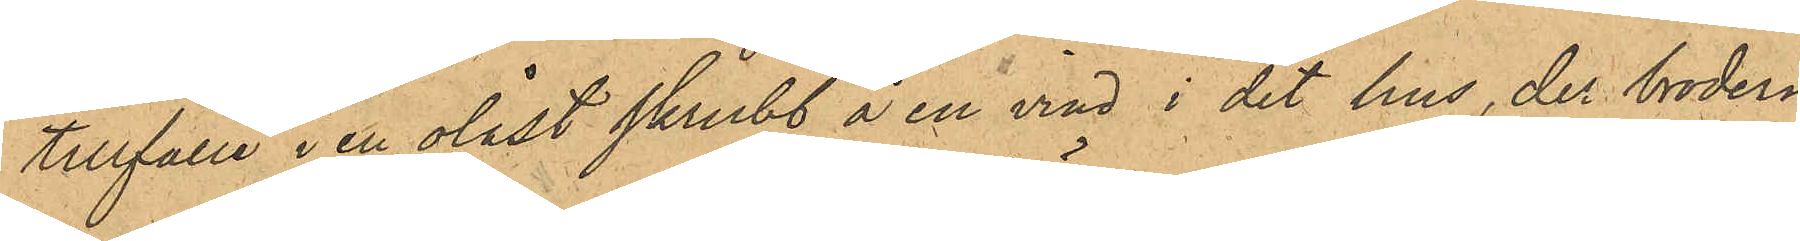tillfälle i en olåst skrubb å en vind i det hus, der brodern
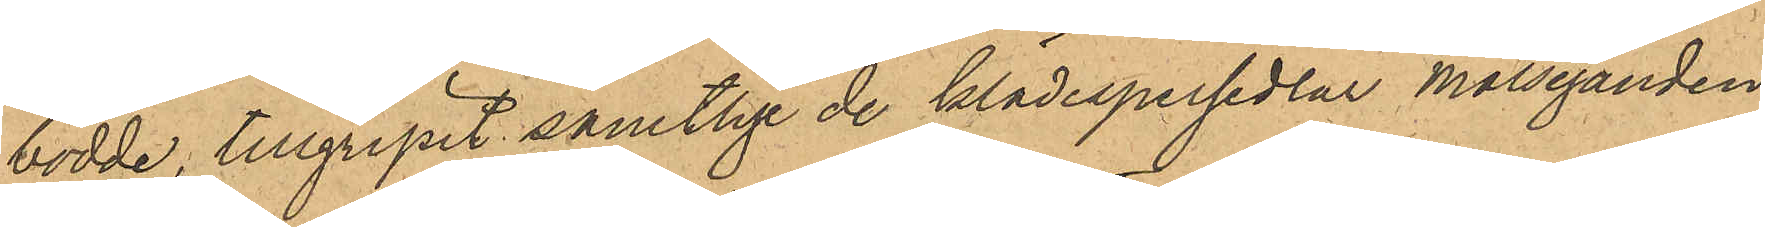bodde, tillgripit samtlige de klädespersedlar Målseganden
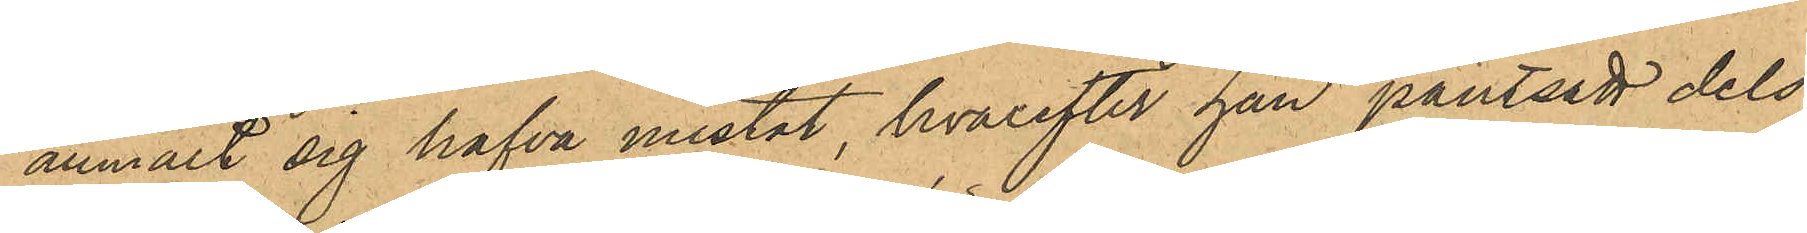anmält sig hafva mistat, hvarefter han pantsatt dels
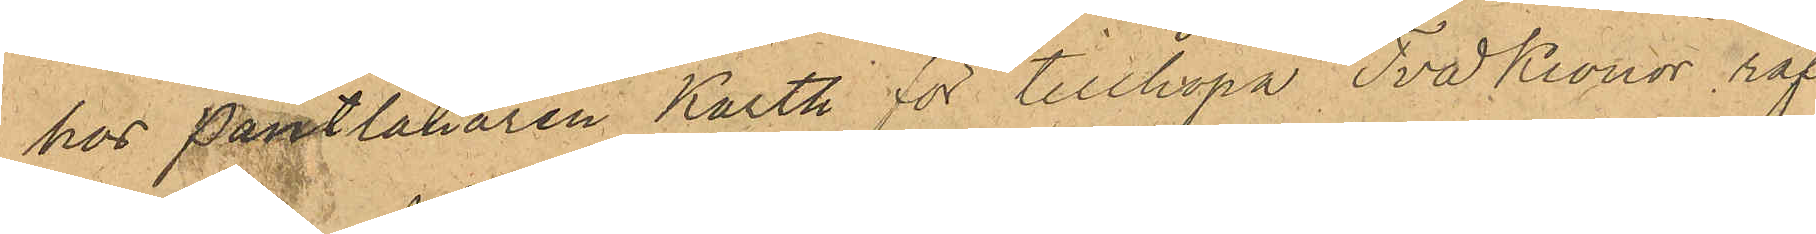hos Pantlånaren Karth för tillhopa Två Kronor, raf¬
